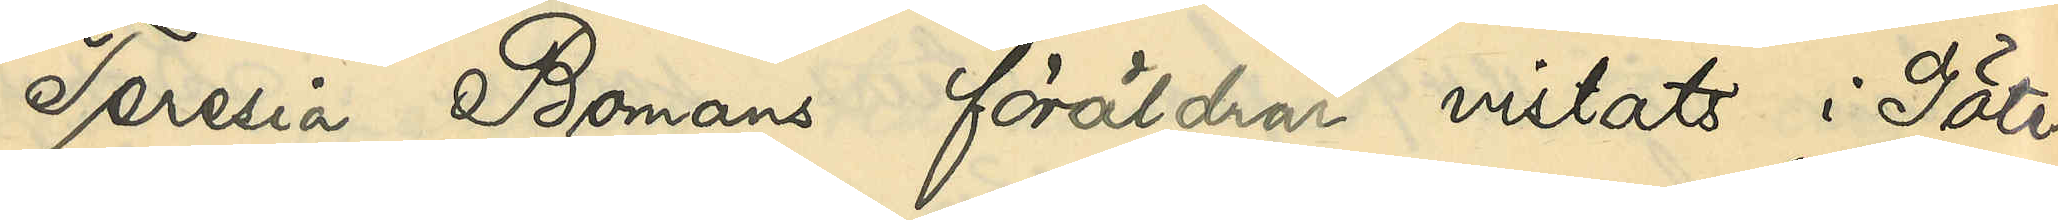Teresia Bomans föräldrar vistats i Göte¬
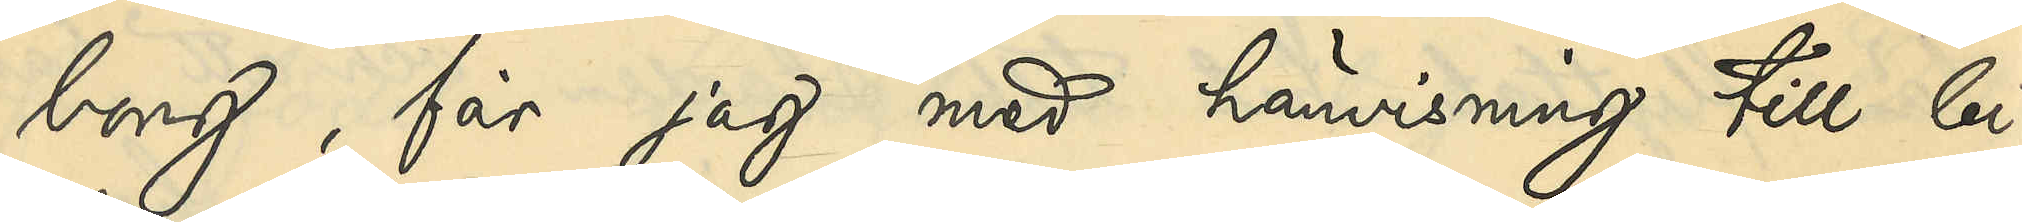borg, får jag med hänvisning till bi¬
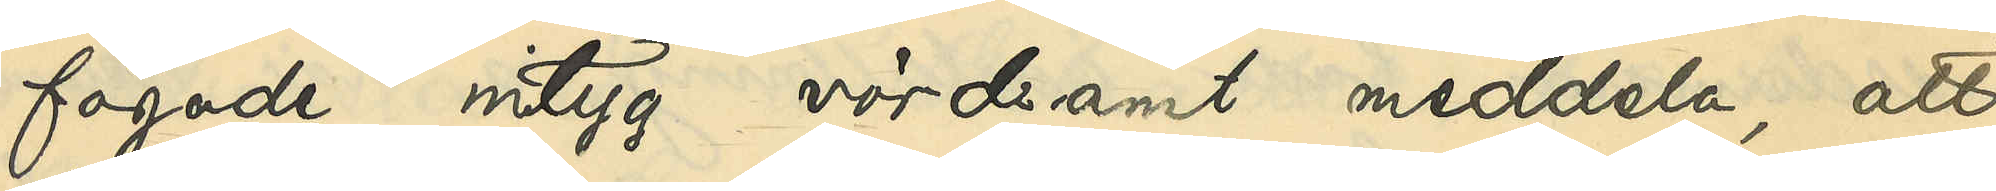fogade intyg vördsamt meddela, att
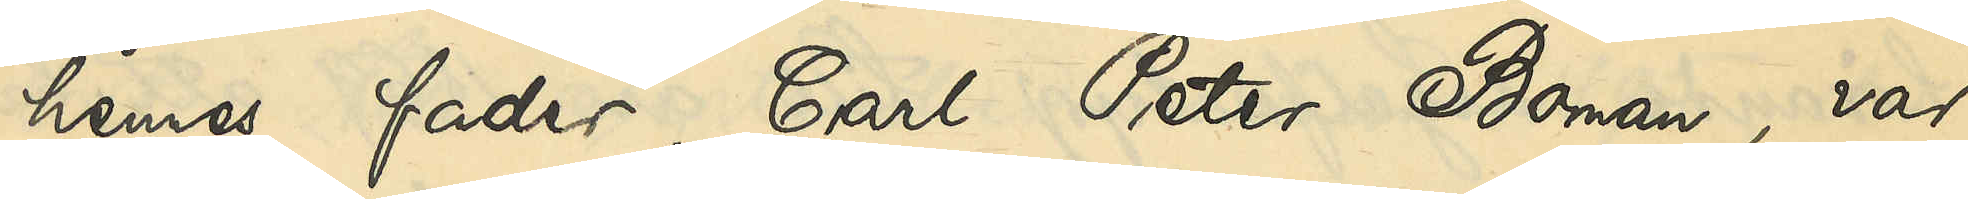hennes fader, Carl Peter Boman, var
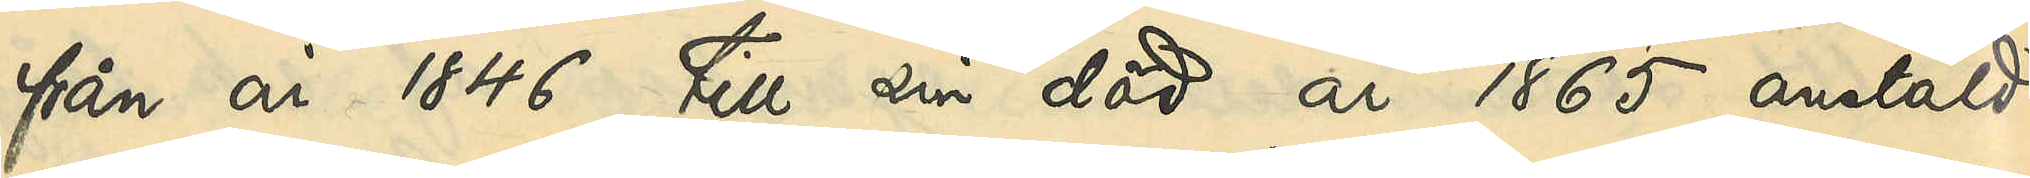från år 1846 till sin död år 1865 anstäld
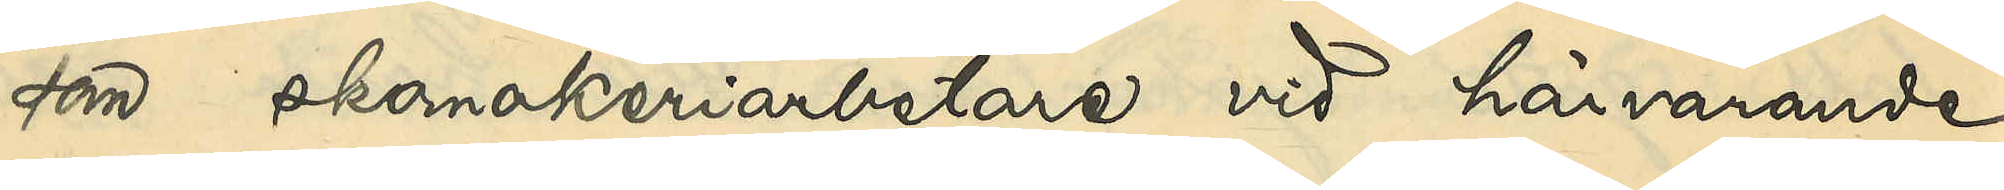som skomakeriarbetare vid härvarande
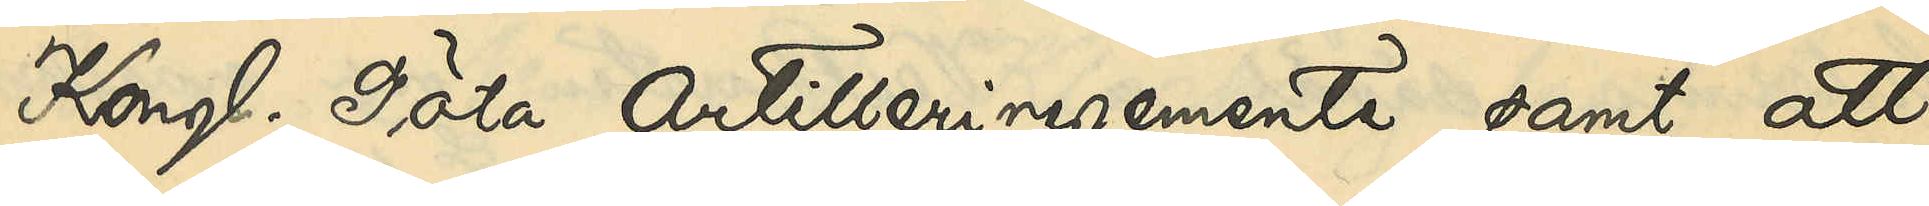Kongl. Göta Artilleriregemente samt att
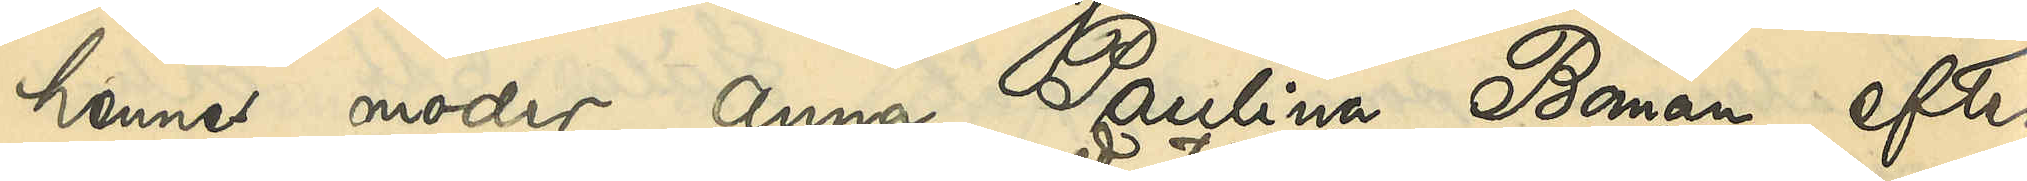hennes moder Anna Paulina Boman, efter
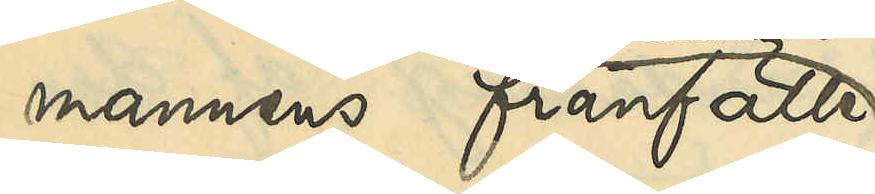mannens frånfälle
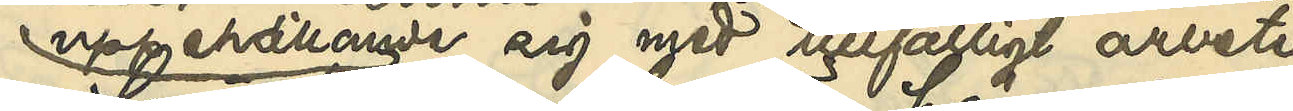uppehållande sig med tillfälligt arbete
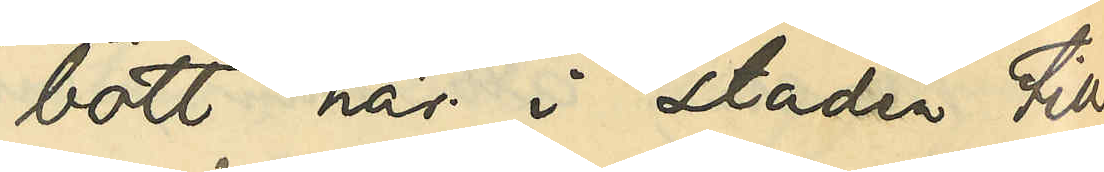bott här i staden till
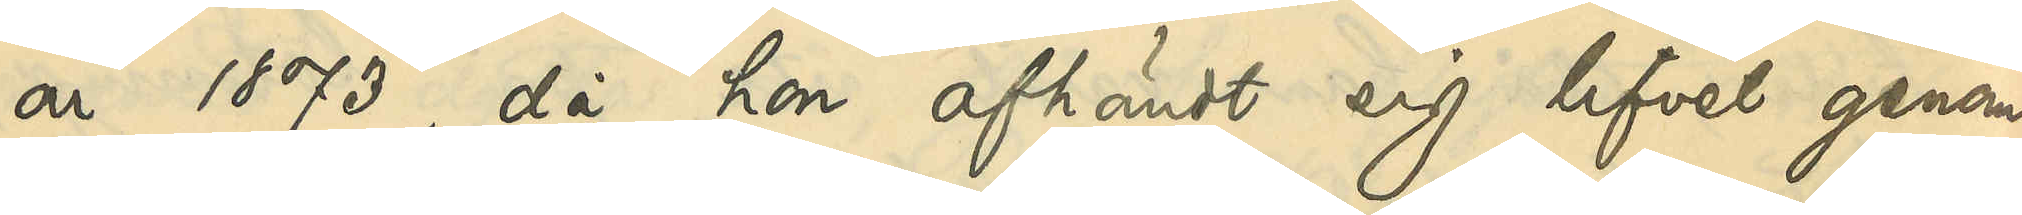år 1873, då hon afhändt sig lifvet genom
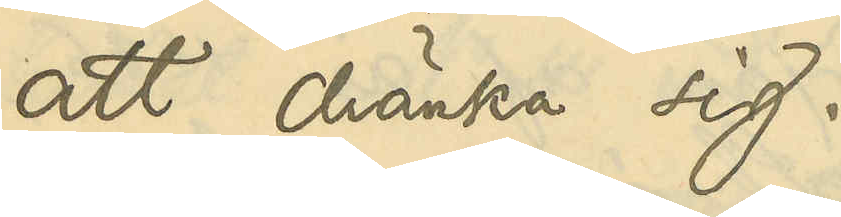att dränka sig.
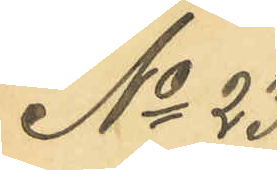No 23
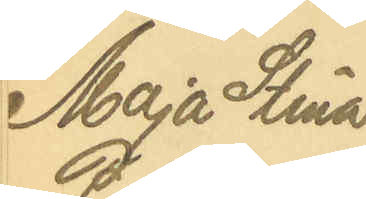Maja Stina
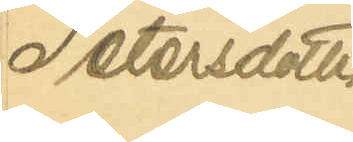Petersdotter
